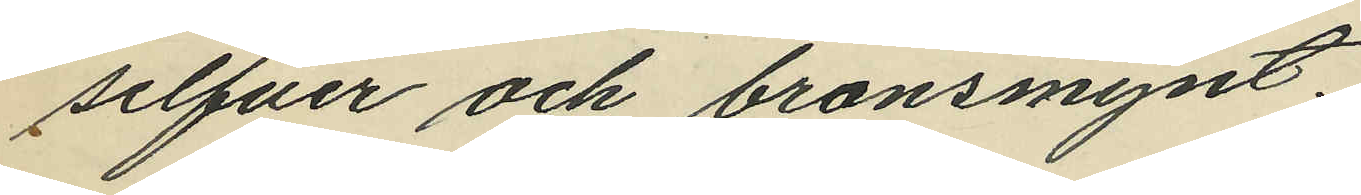silfver och bronsmynt.
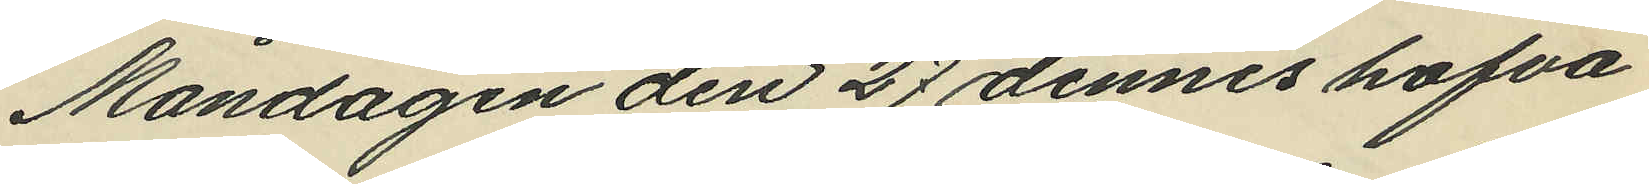Måndagen den 27 dennes hafva
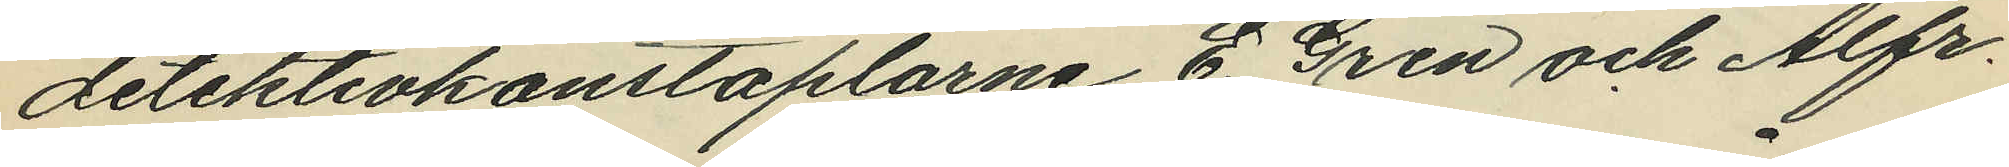detektivkonstaplarne E. Gren och Alfr.
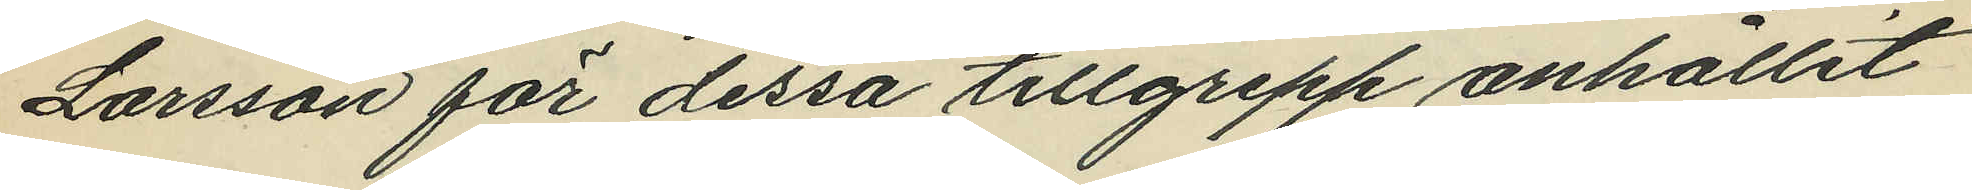Larsson för dessa tillgrepp anhållit
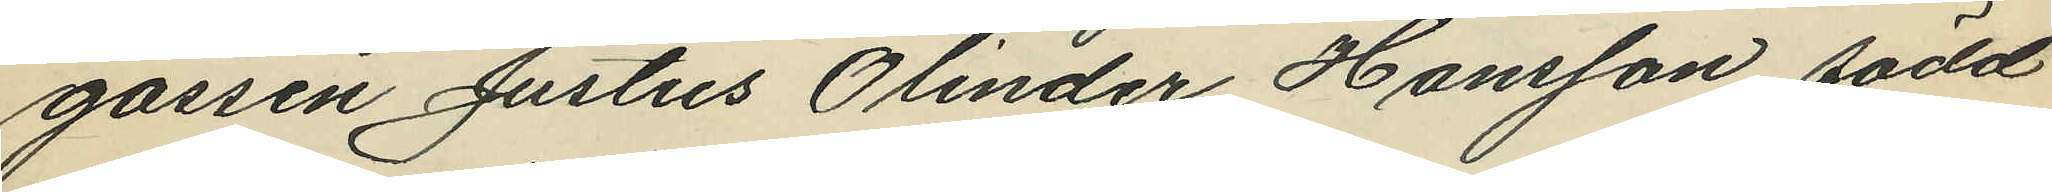gossen Justus Olinder Hansson, född
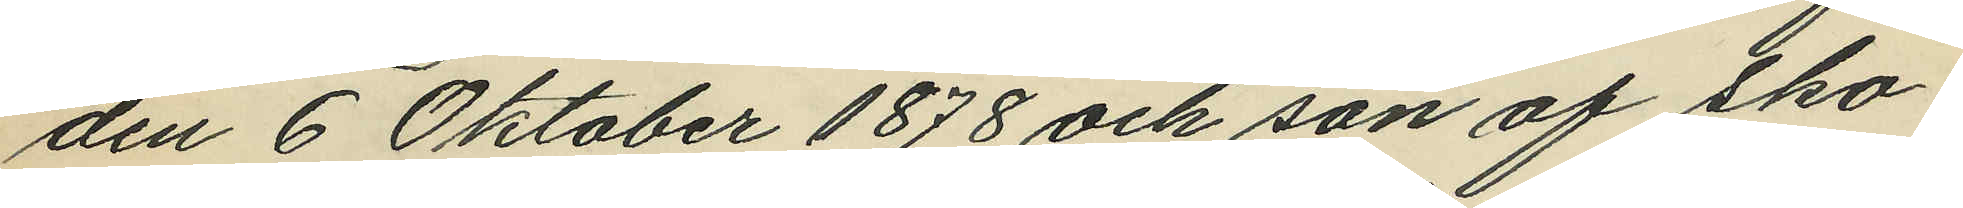den 6 Oktober 1878 och son af Sko¬
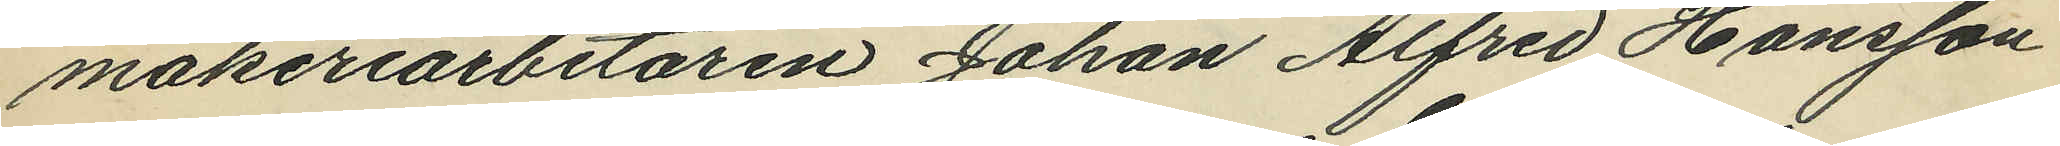makeriarbetaren Johan Alfred Hansson
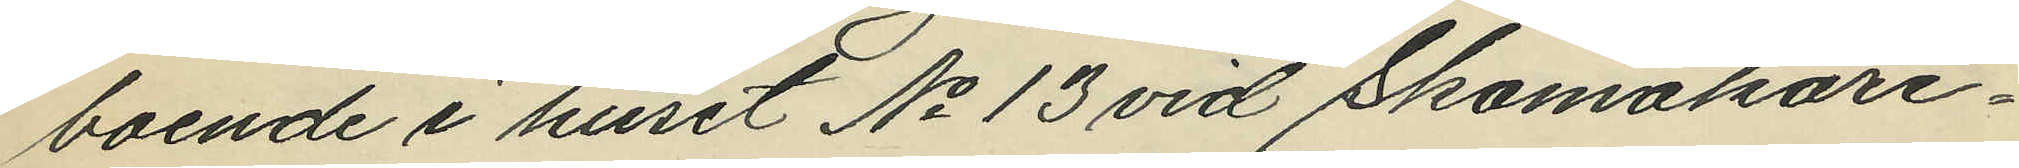boende i huset No 13 vid Skomakare¬
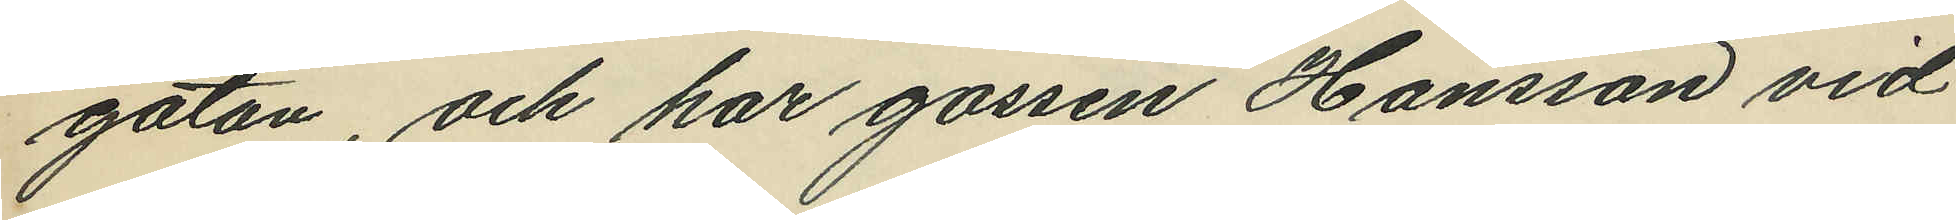gatan, och har gossen Hansson vid
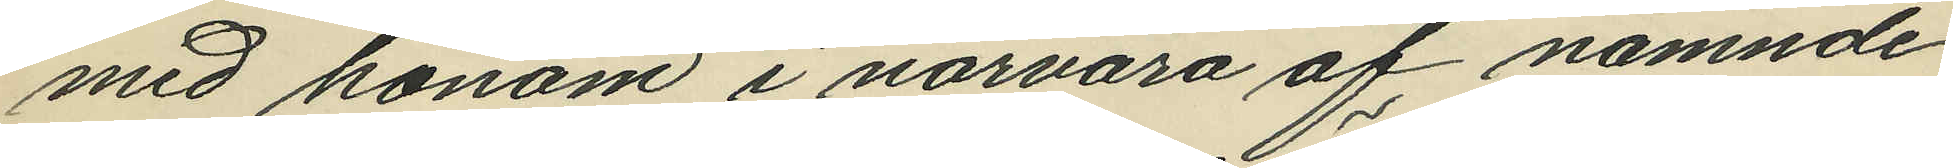med honom i närvaro af nämnde
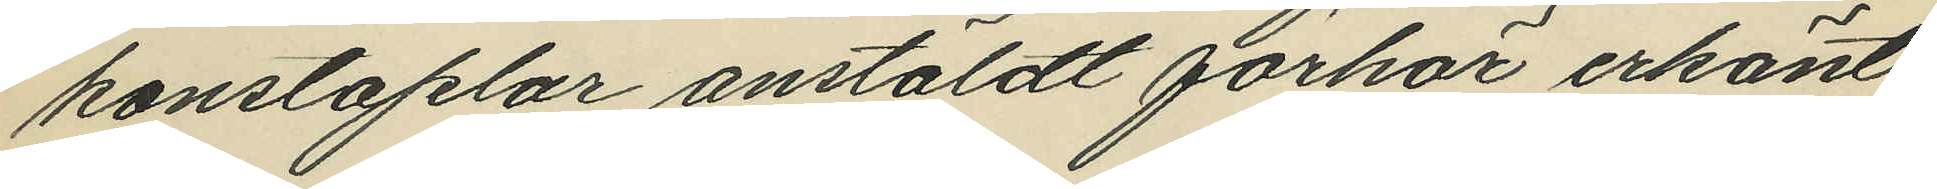konstaplar anstäldt förhör erkänt
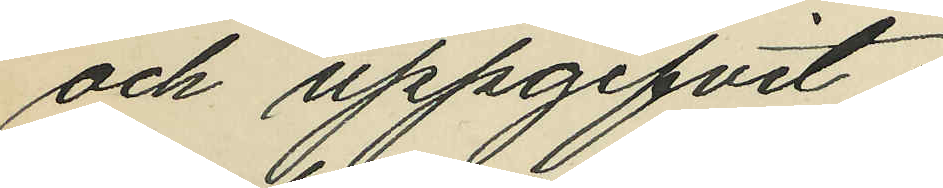och uppgifvit:
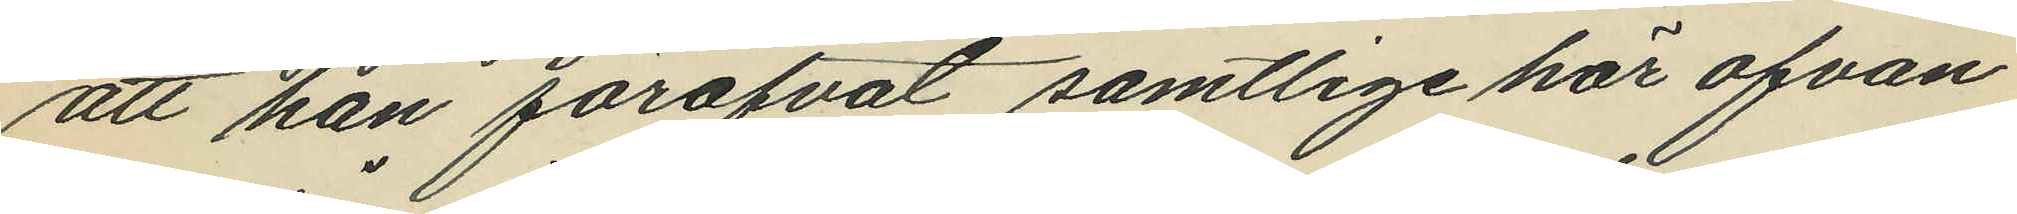att han föröfvat samtlige har ofvan¬
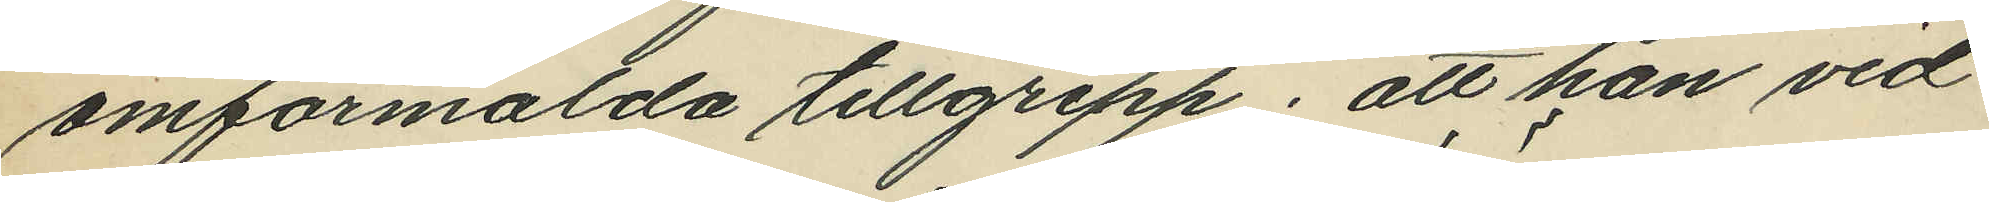omförmälda tillgrepp; att han vid
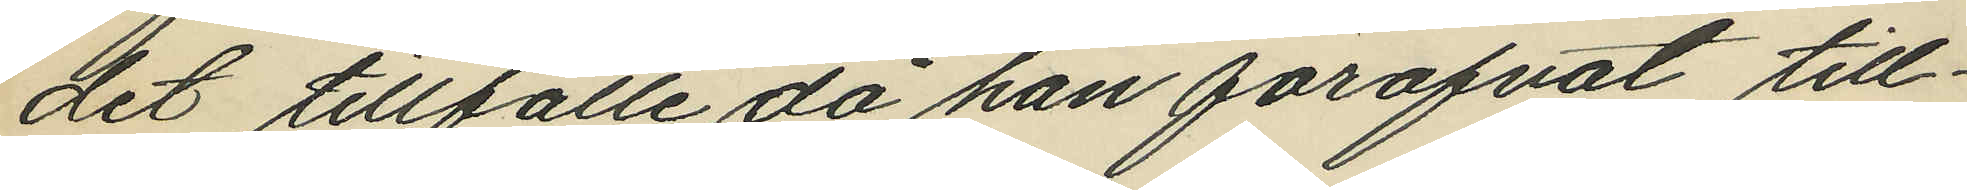det tillfälle då han föröfvat till¬
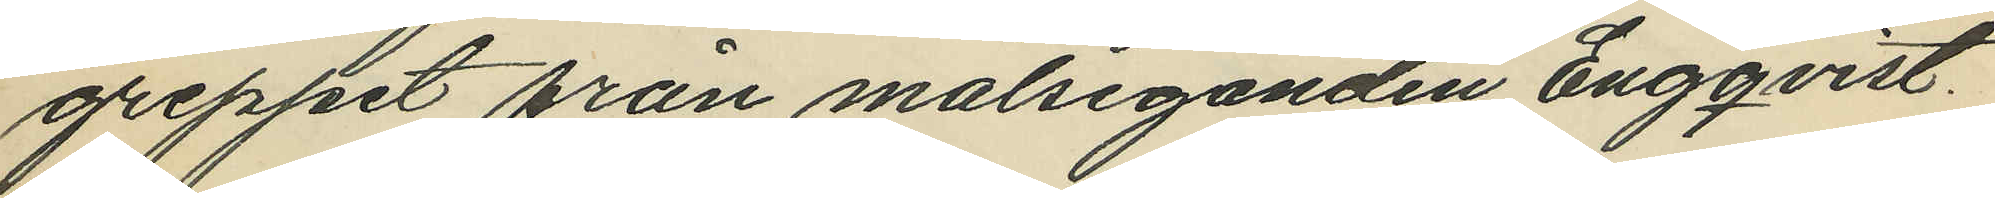greppet från målseganden Engqvist
